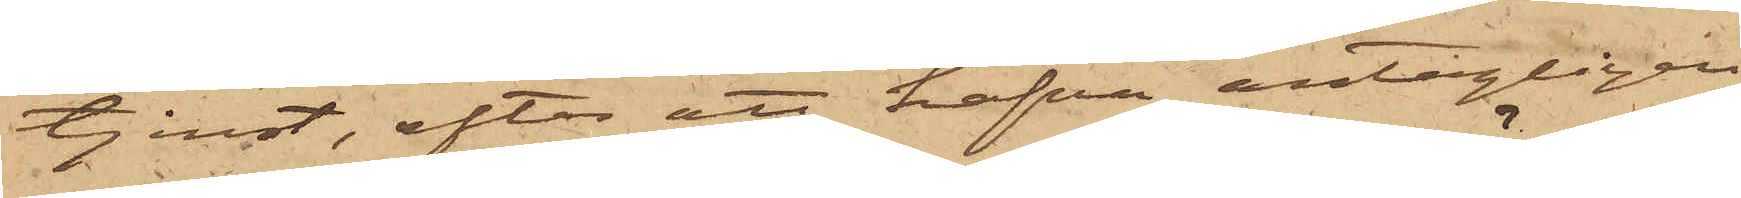tjenst, efter att hafva antagligen
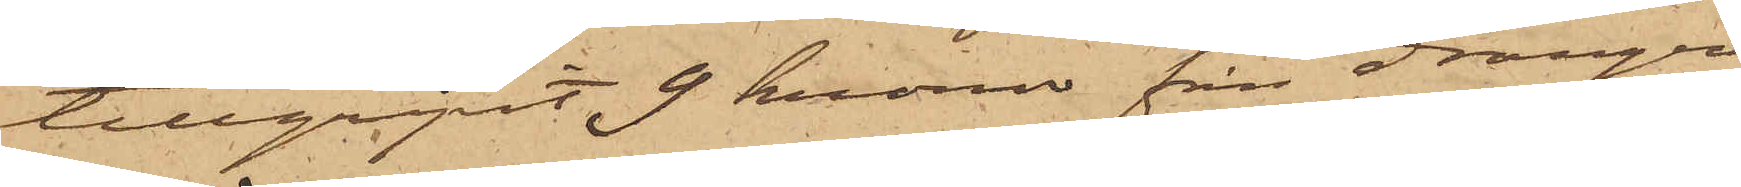tillgripit 9 kronor från drängen
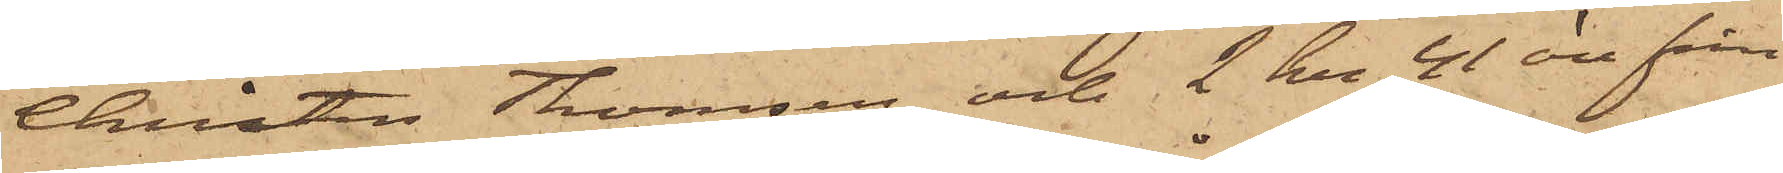Christen Thomsen och 2 kr 41 öre från
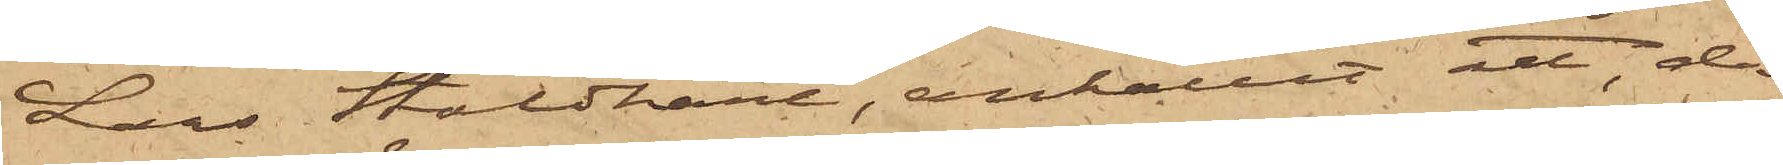Lars Staldhane, anhållit att, då
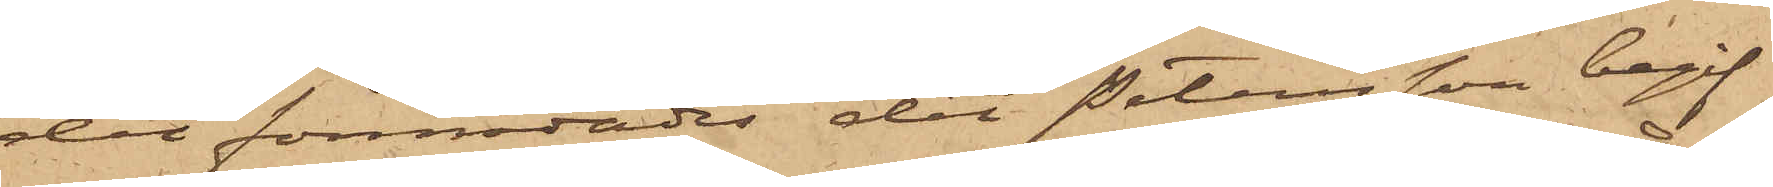det förmodades det Petersson begif¬
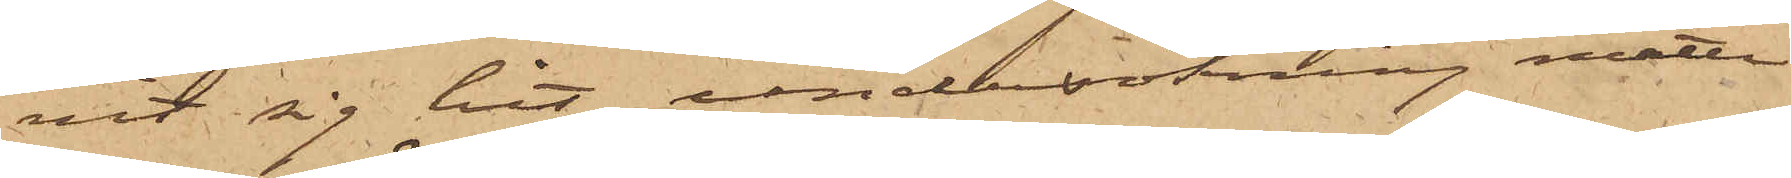vit sig hit, undersökning måtte
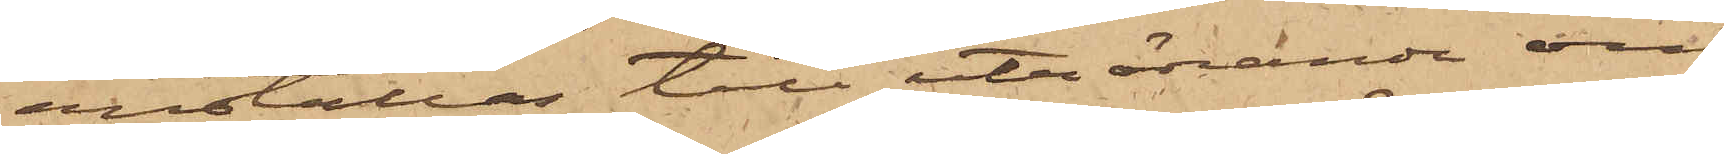anställas till utrönande om
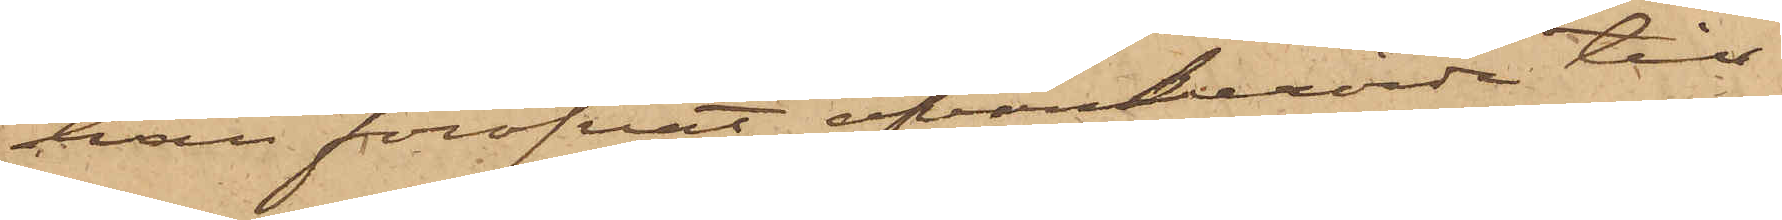han föröfvat ofvanberörde till¬
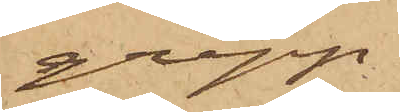grepp.
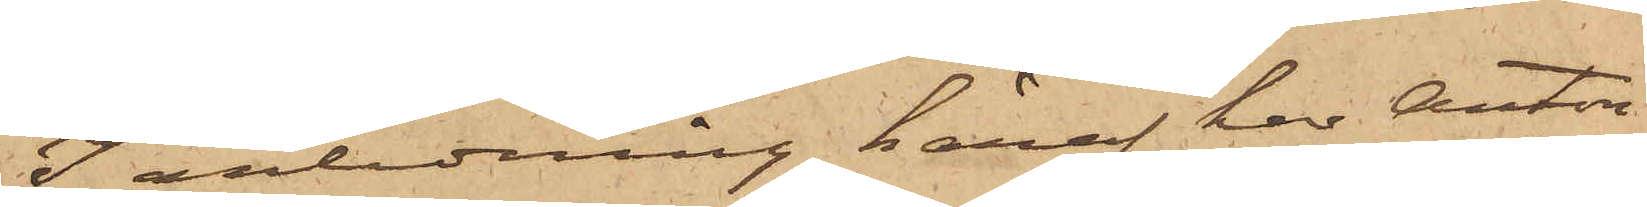I anledning häraf har Anton
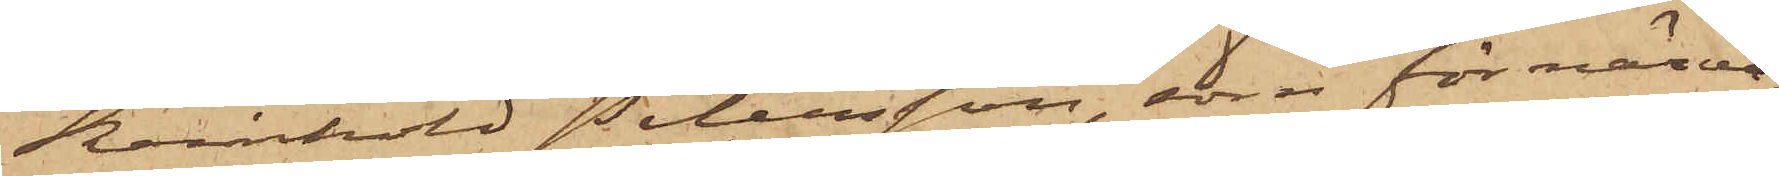Reinhold Petersson, som för närva¬
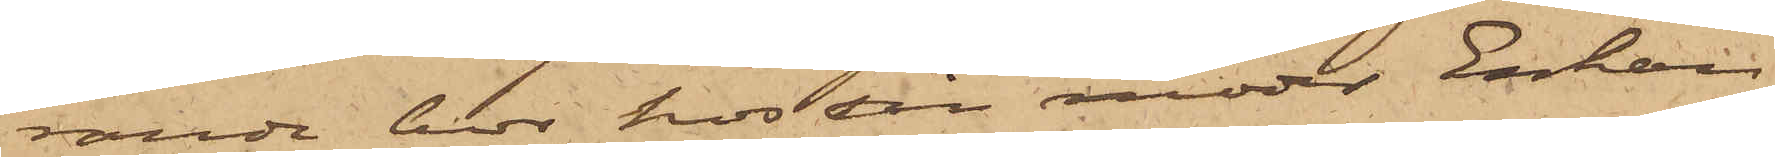rande hos hos en moder Enkan
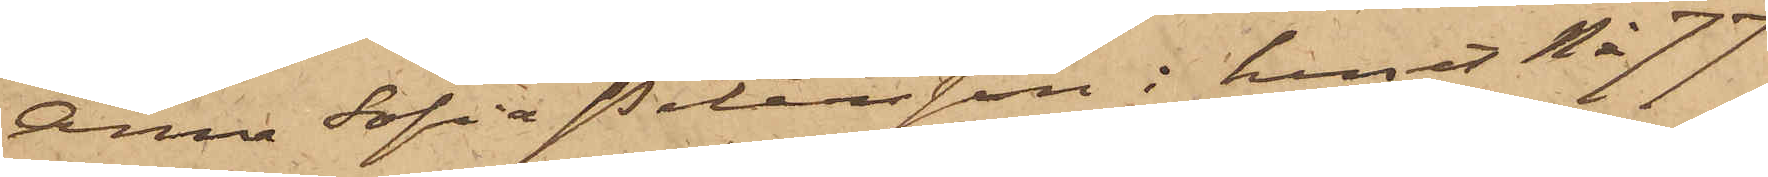Anna Sofia Petersson i huset No 77
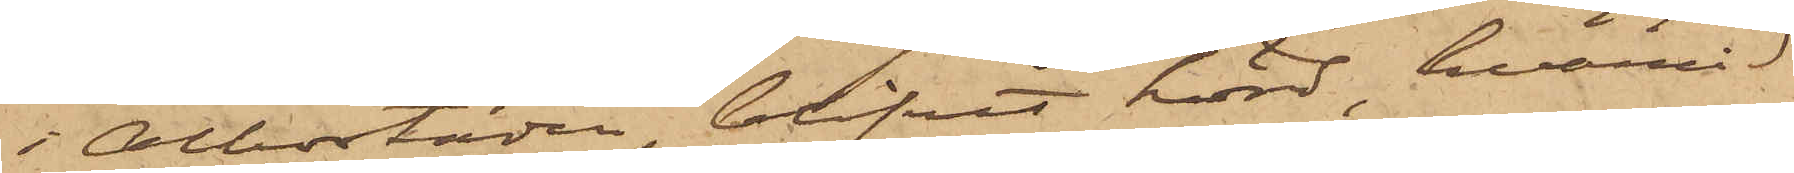i Albostaden, blifvit hörd, hvarvid
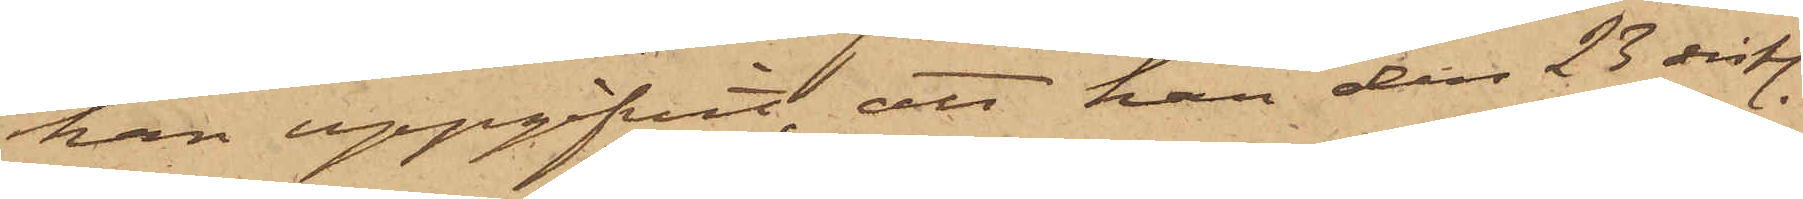han uppgifvit, att han den 28 sistl.
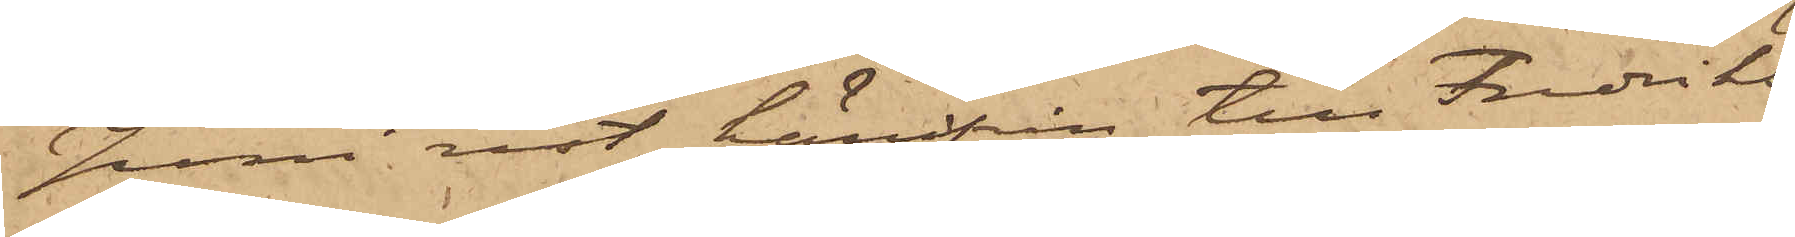Juni rest härifrån till Fredriks¬
